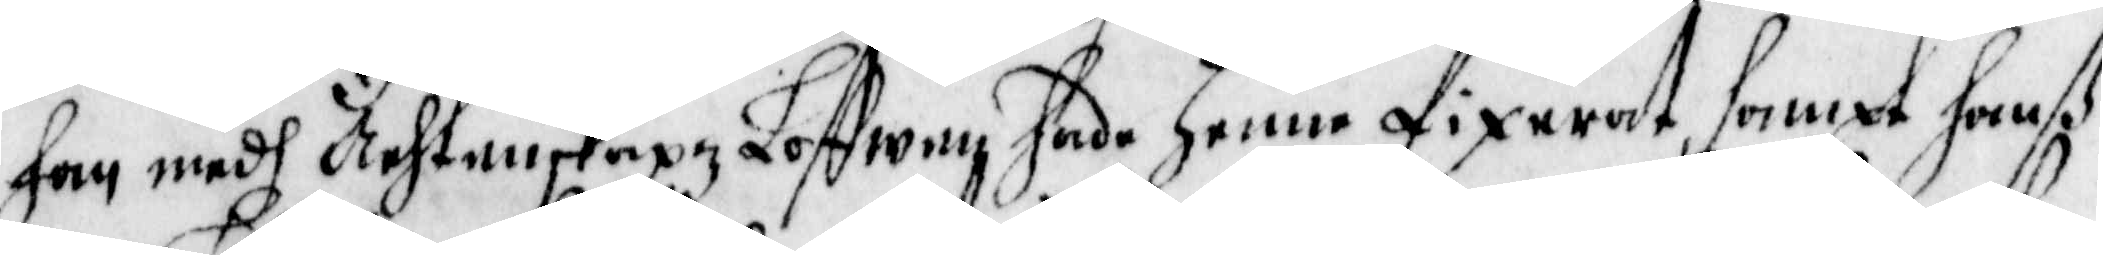han medh Ächtenskapz Loffwen hade henne fixerat, sampt hanß
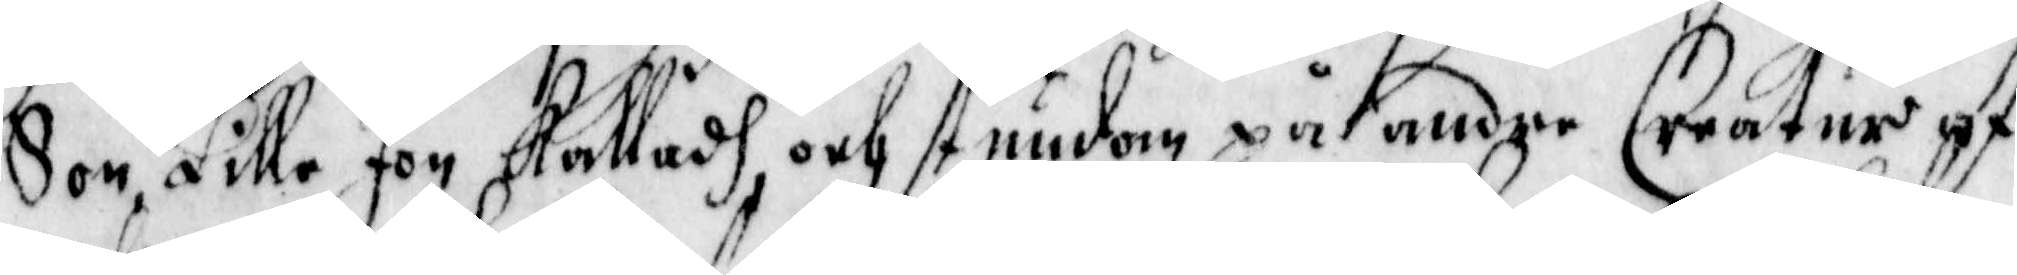Son, Lille Jon kalladh, och stundom på andre Creatur af
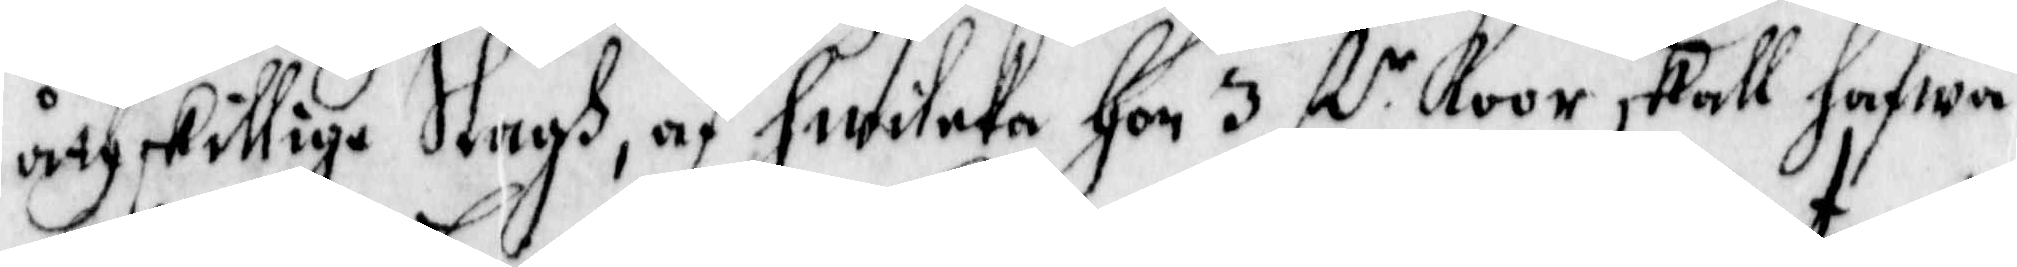åthskillige Slags, af hwilcka hon 3 st n Koor skall hafwa
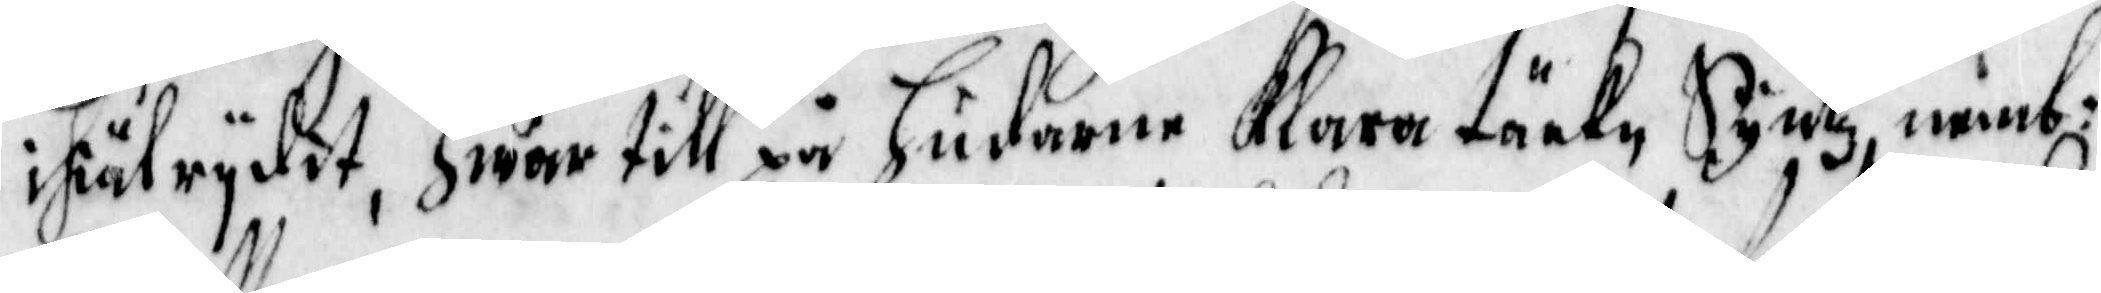ihälrydit, hwar till på hudarne Klara täckn Syntz, nämb:
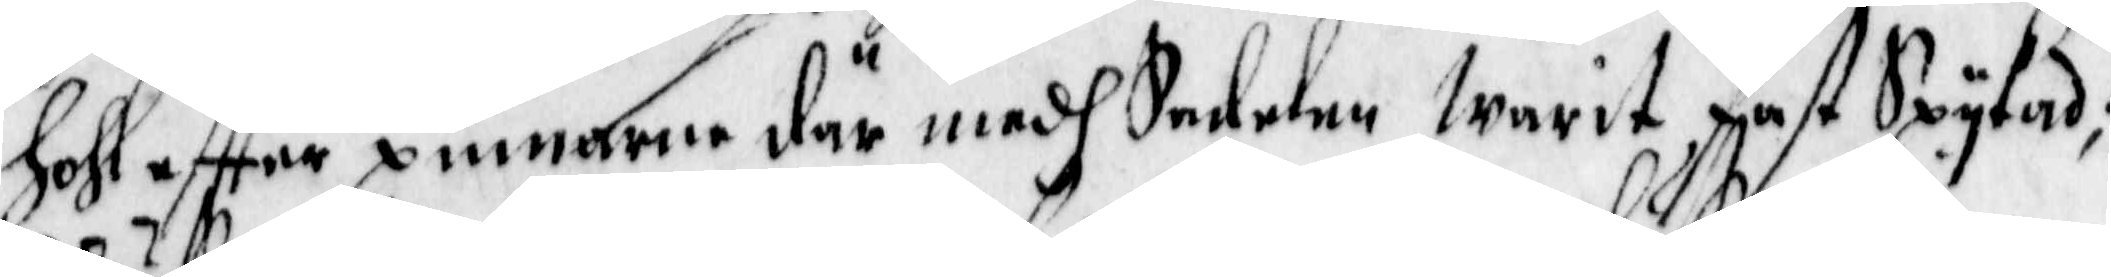hohl effter pinnarne där medh Sadelen warit fast Spykad;
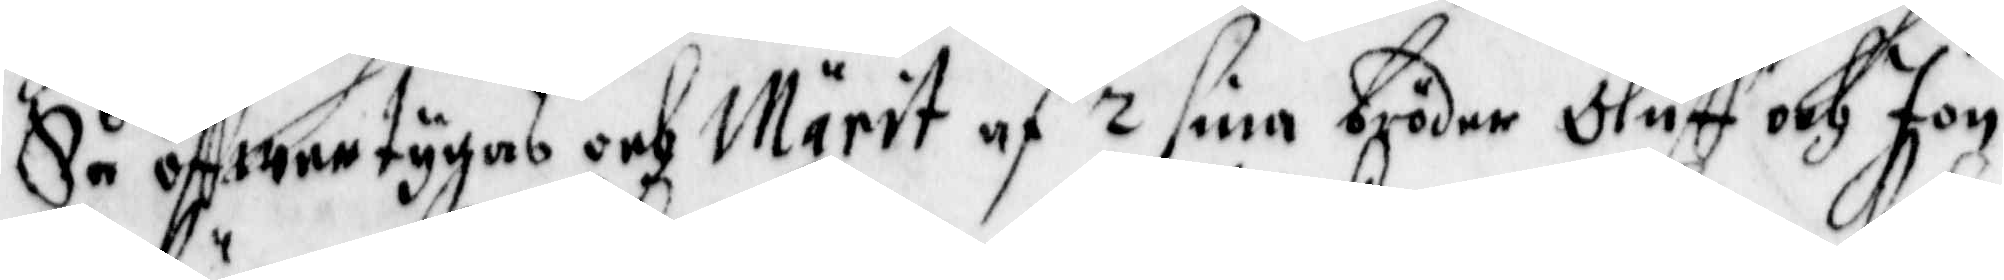Så äffwertygas och Märit af 2 sina bröder Oluff och Jon
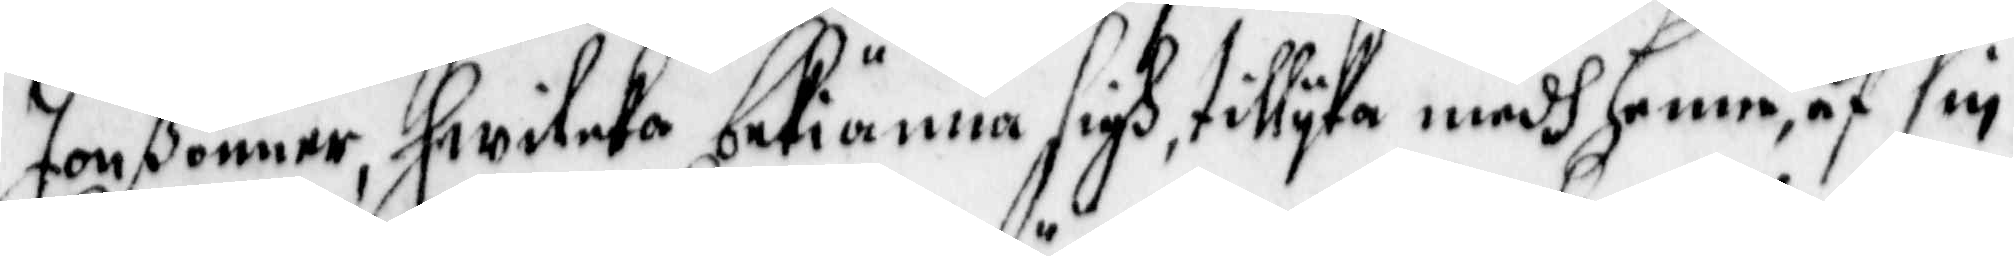Jonßönner, hwilcka betiänna sigh, tillyka medh henne, af sin
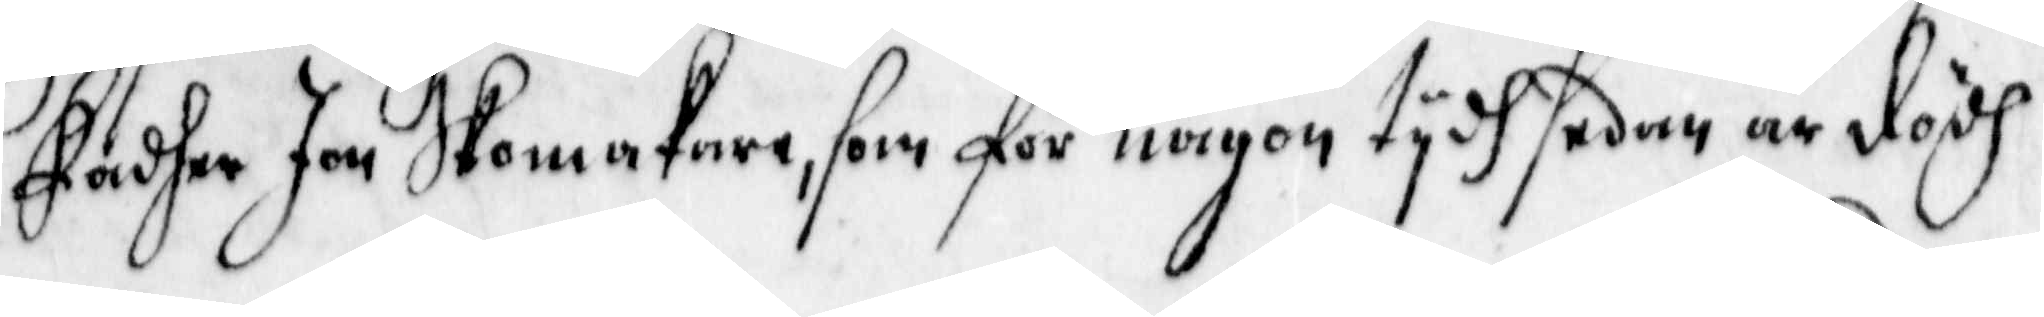Fader Jon Skomakare, som för någon tyfh sedan är dödh
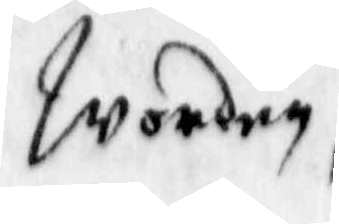worden,
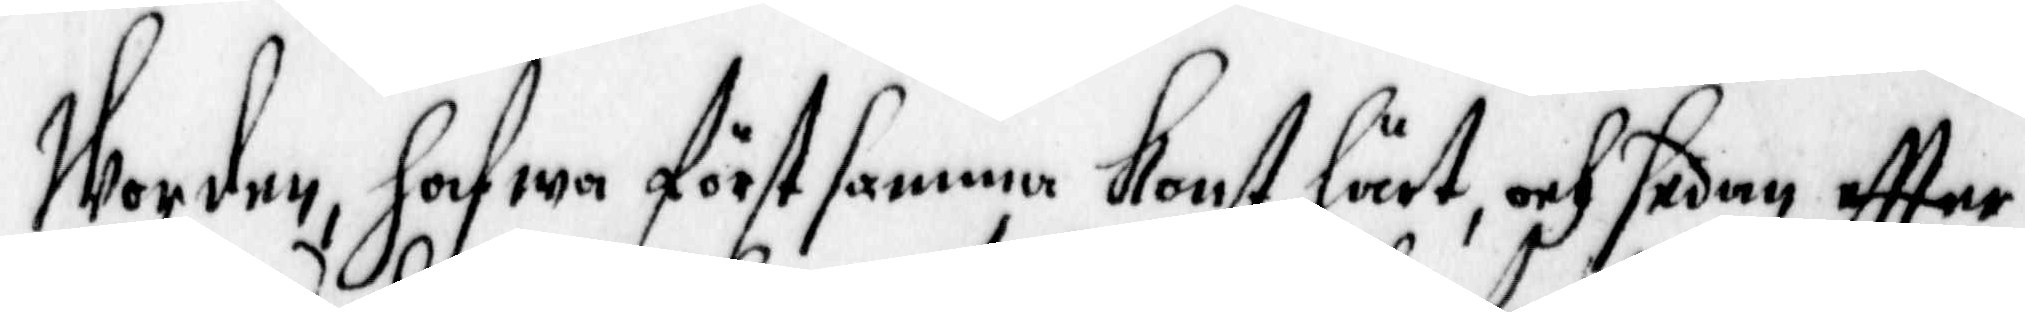Worden, hafwa först samma Konst lärt, och sedan effter
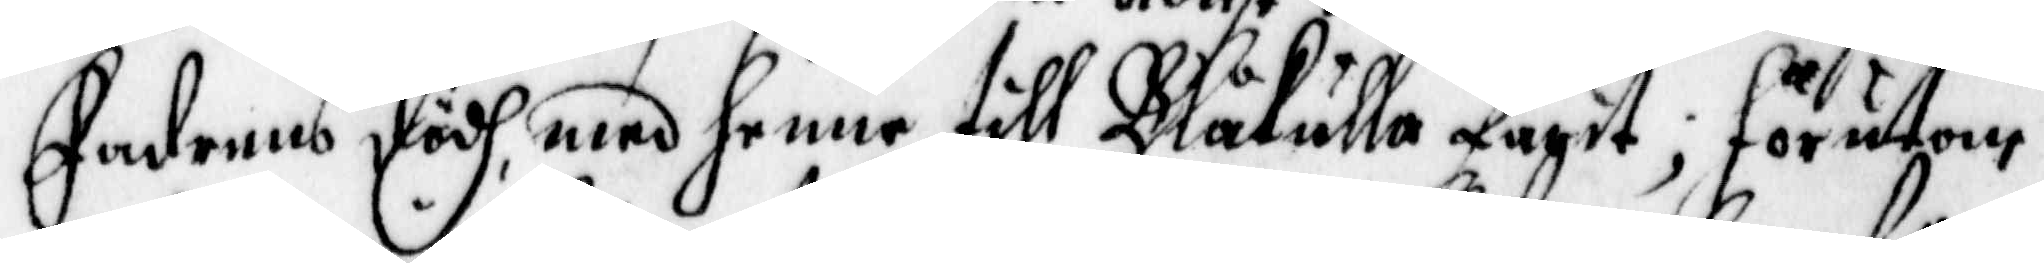faderns dödh, med henne till Blåkulla tagit; förutom
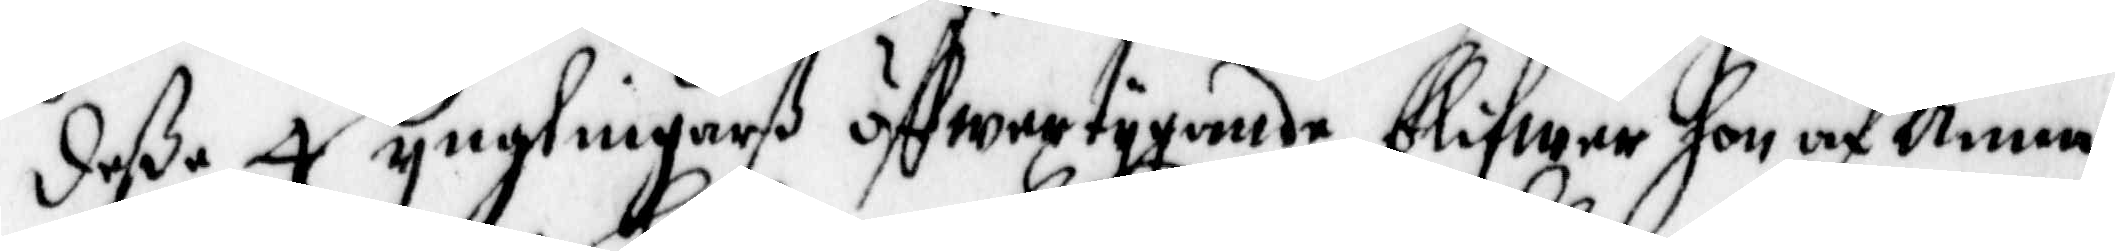deße 4 ynglingarß öffwertygande blifwer hon af Anna
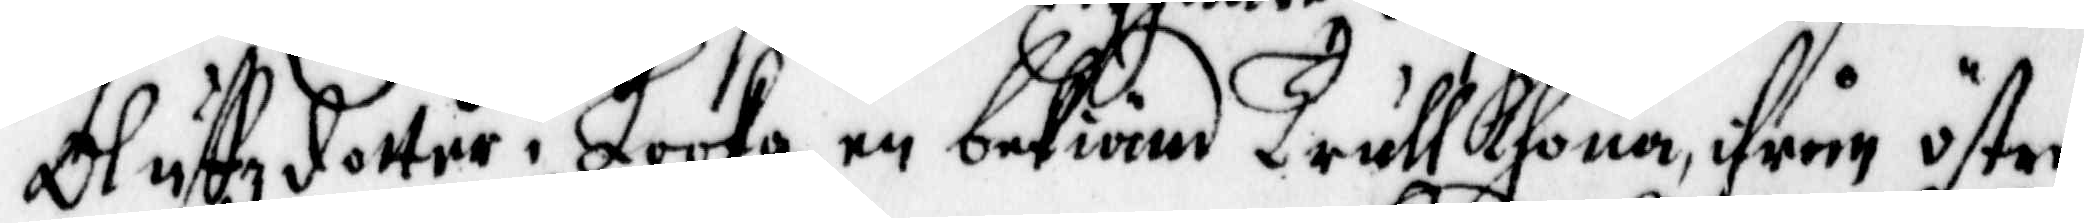Oluffz dotter i Looka, en bekiend Trullkhona, från, öster
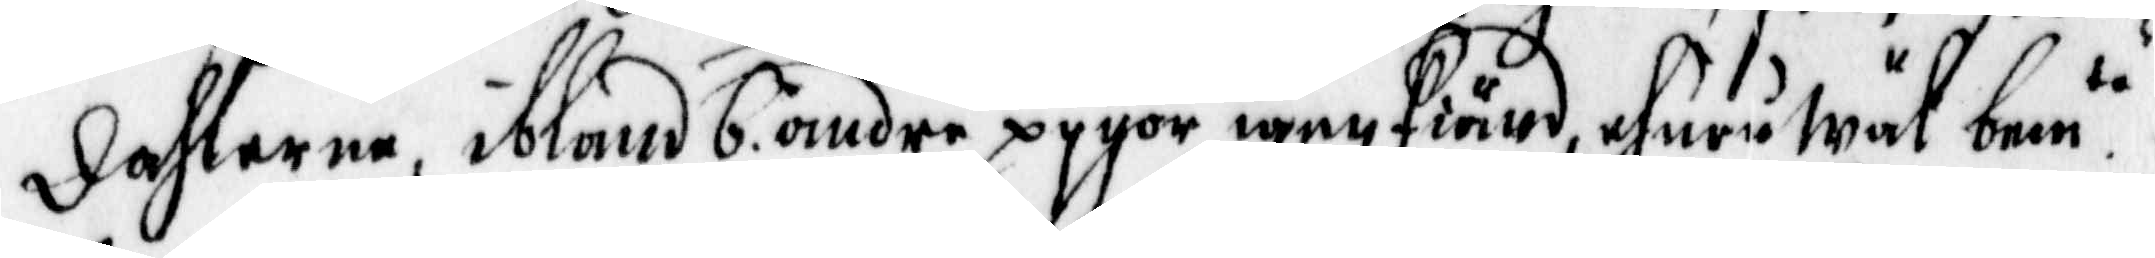Dahlarne, ibland 6 andre pygor igen kiänd, ehuruwäl bem te
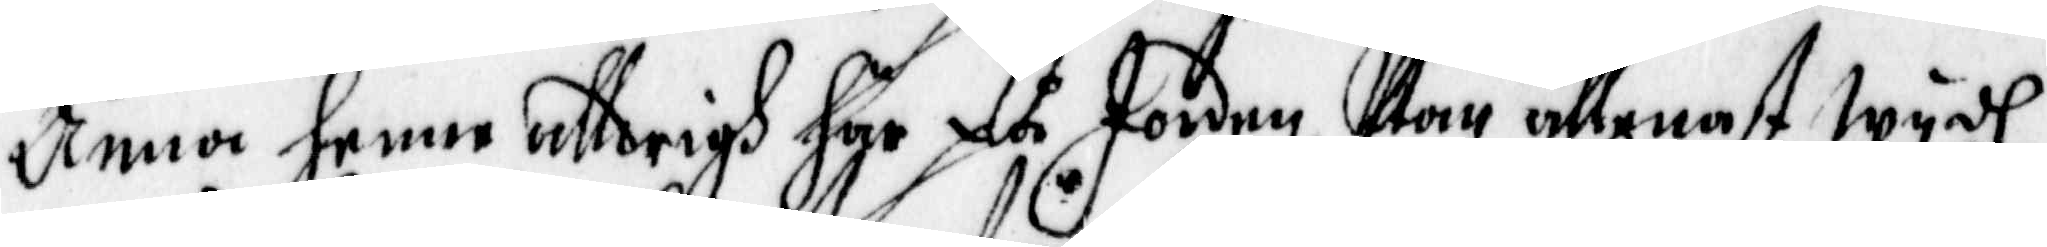Anna henne alldrigh här på Jorden, Uthan allenast wydh
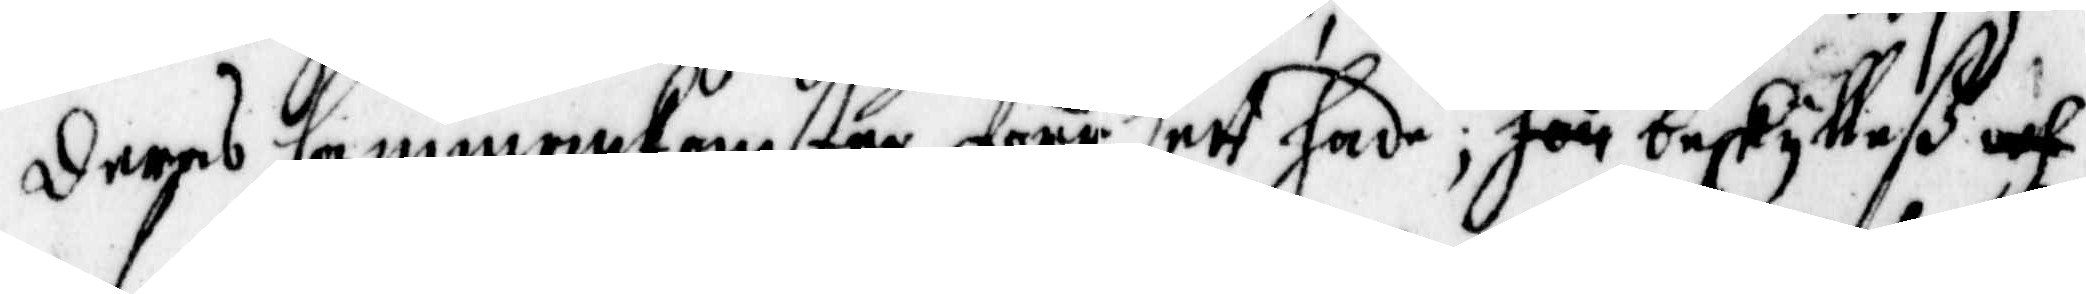deras sammankomster förr sedt hade; hon beskykleß och
